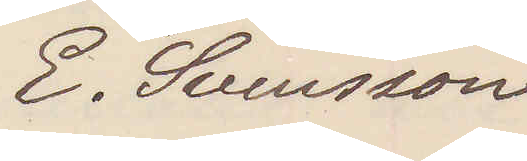E. Svensson
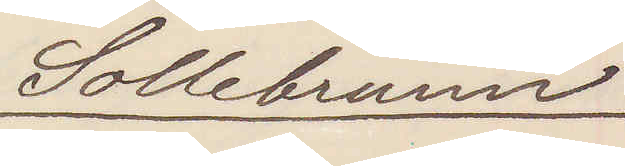Sollebrunn
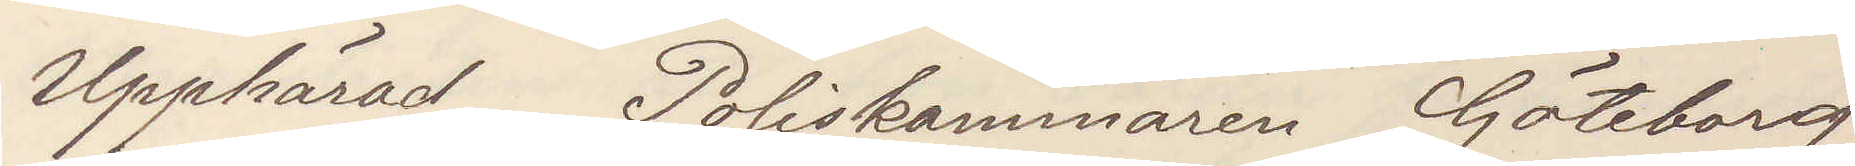Upphärad Poliskammaren Göteborg
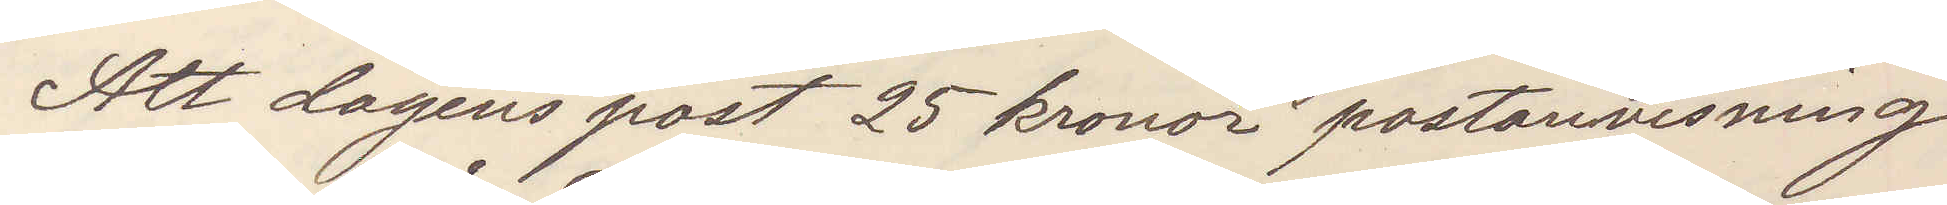Att dagens post 25 kronor postanvisning
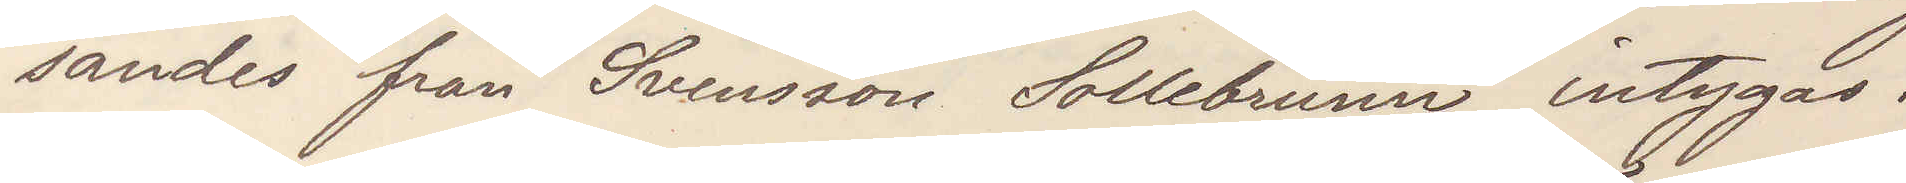sändes från Svensson Sollebrunn intygas.
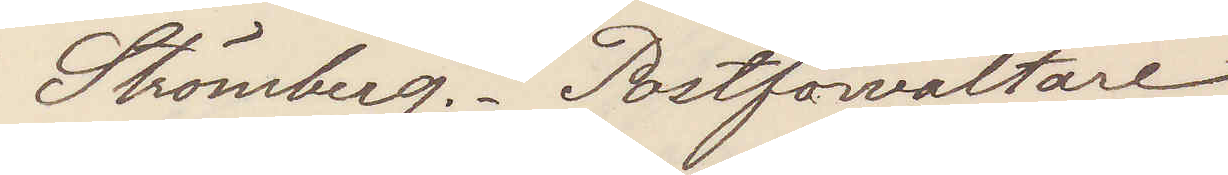Strömberg. Postförvaltare
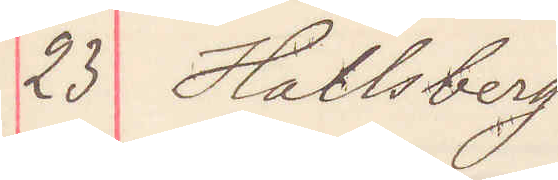23 Hallsberg
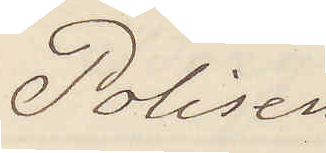Polisen 
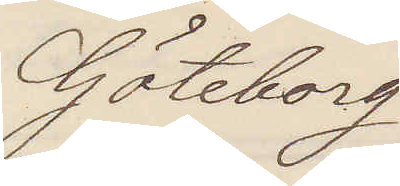Göteborg
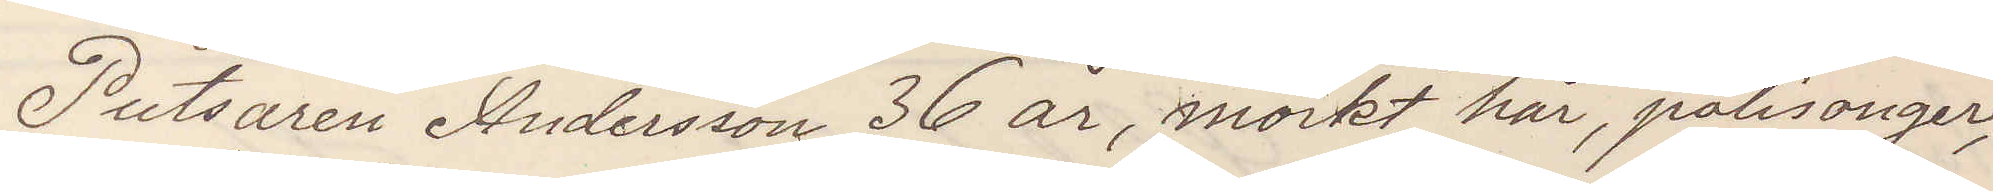Putsaren Andersson 36 år, mörkt hår, polisonger,
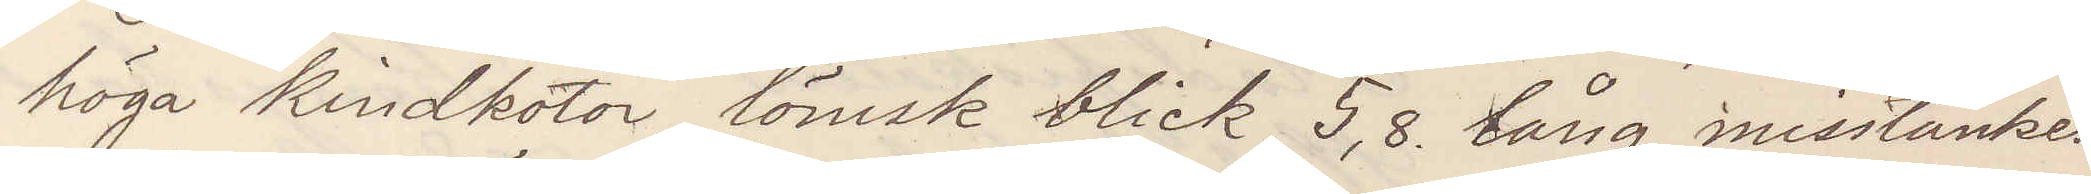höga kindkotor, lömsk blick, 5,8 lång, misstänkes
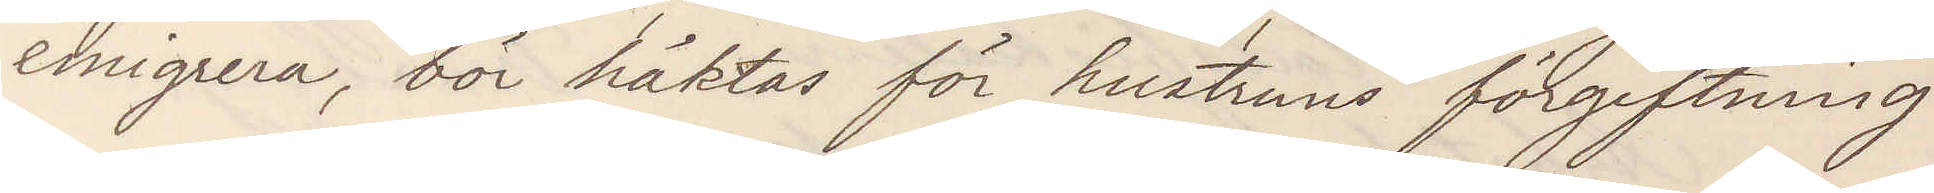emigrera, bör häktas för hustruns förgiftning
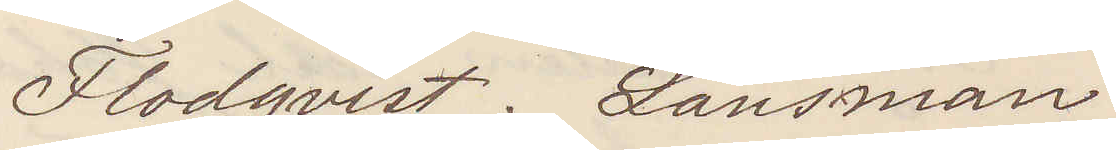Flodqvist. Länsman
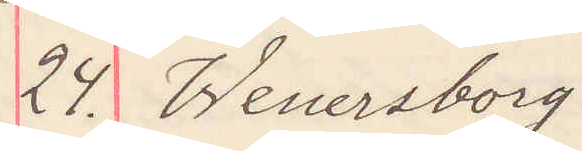24. Wenersborg
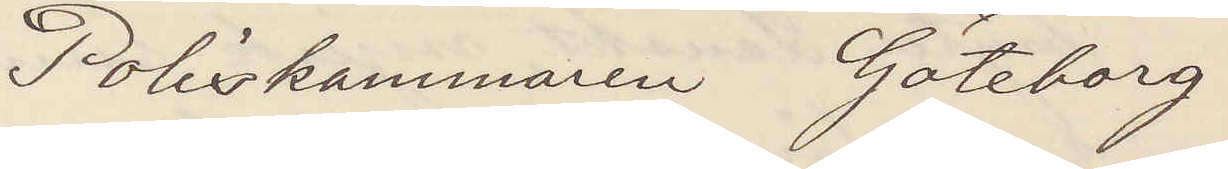Poliskammaren Göteborg
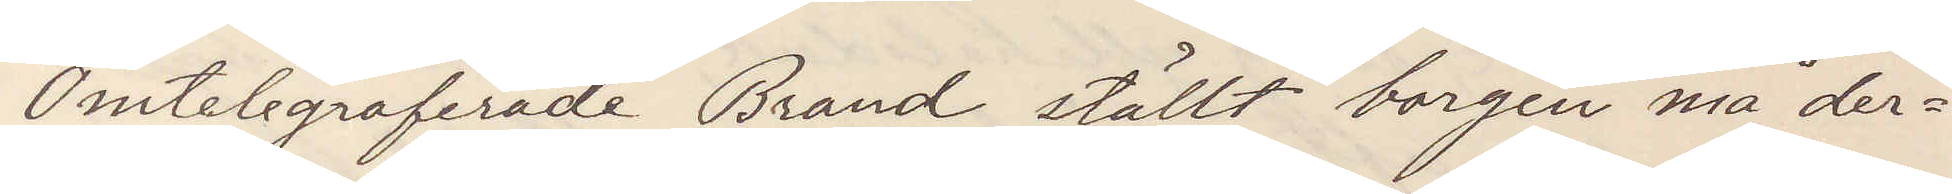Omtelegraferade Brand ställt borgen må der¬
